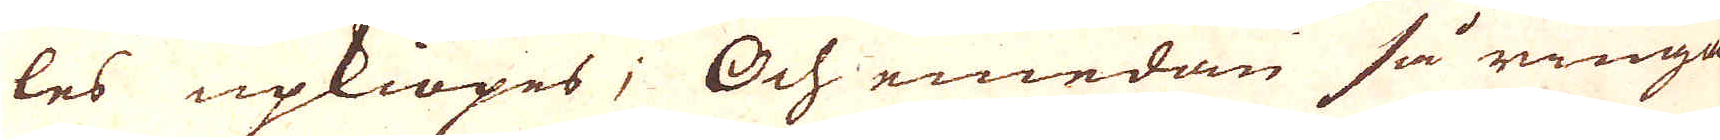les upkiöpes; Och emedan så ringa
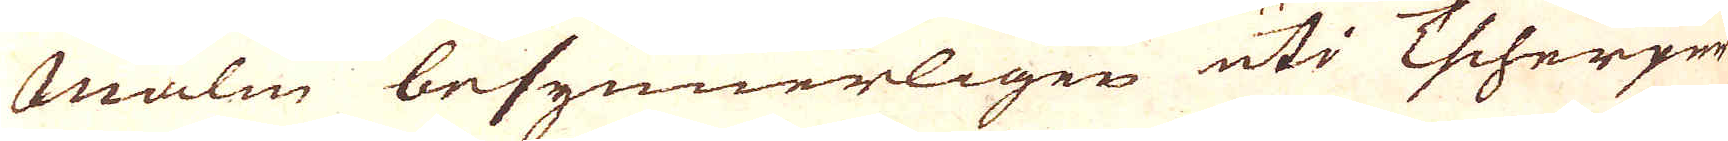Malm besynnerligen uti Tscherper-
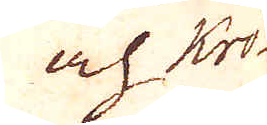och Krö-
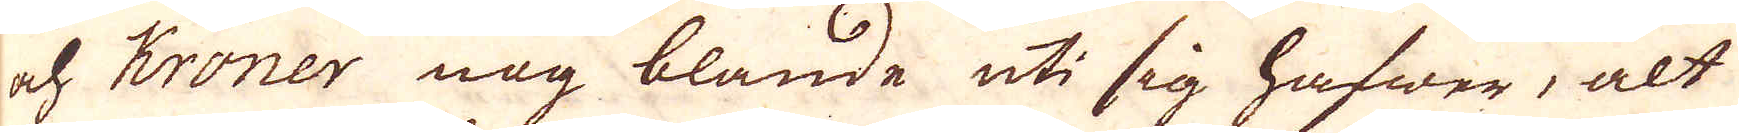och Kröner nog blande uti sig hafwer, alt
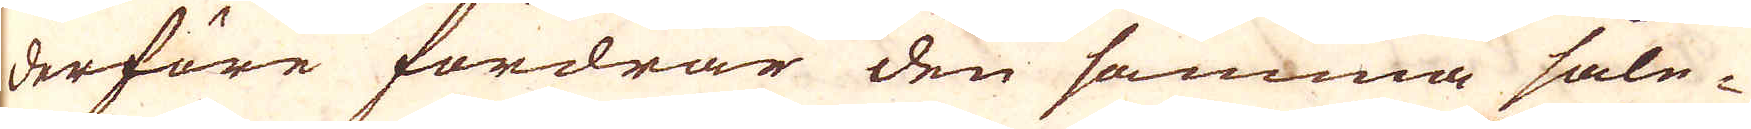derföre fordrar den samma såle-
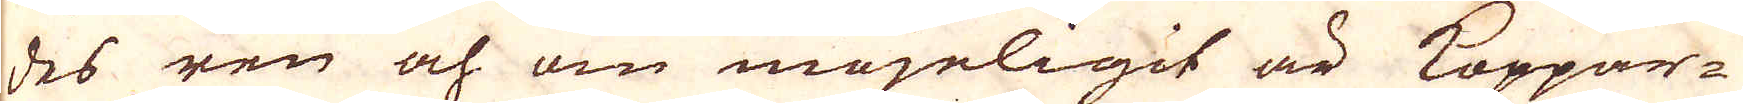des ren och om möjeligit är Koppar-
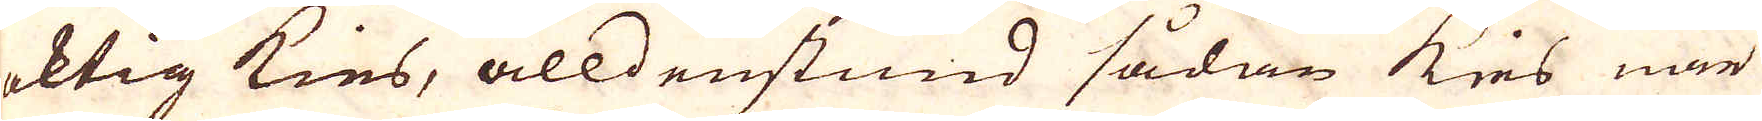aktig kies, alldenstund sådan kies när
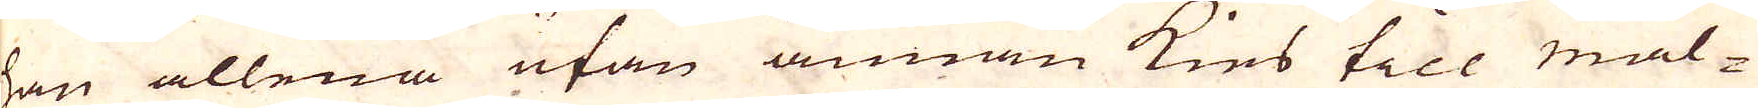han allena utan annan kies till mal-
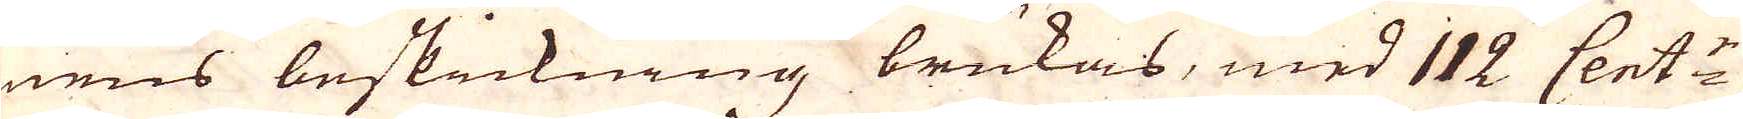mens beskickning brukas, med 112 Cent:r
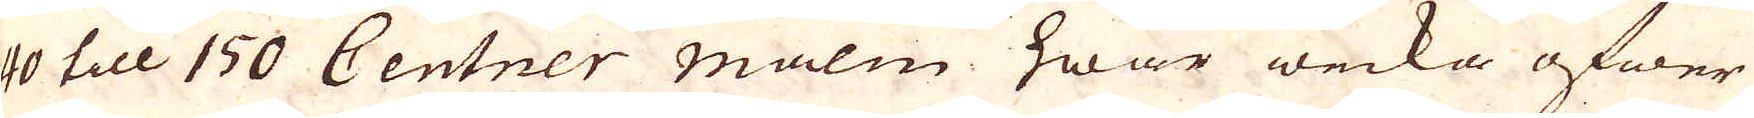140 till 150 Centner Malm hwar wecka öfwer
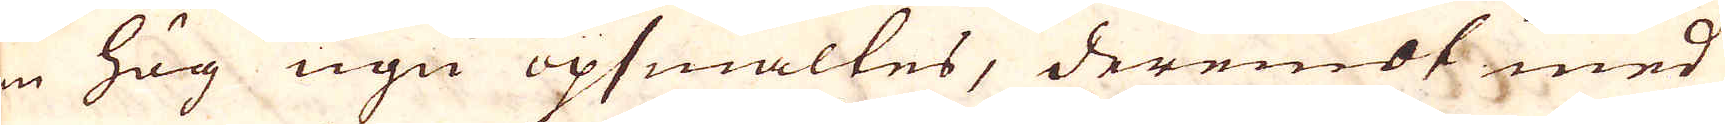en hög ugn upsmältes, deremot med
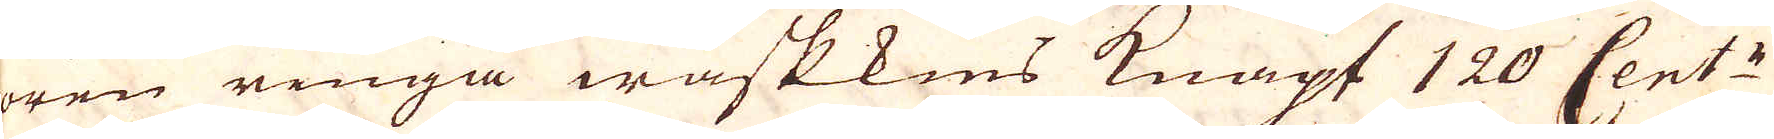oren ringa waskkies knapt 120 Cent:r
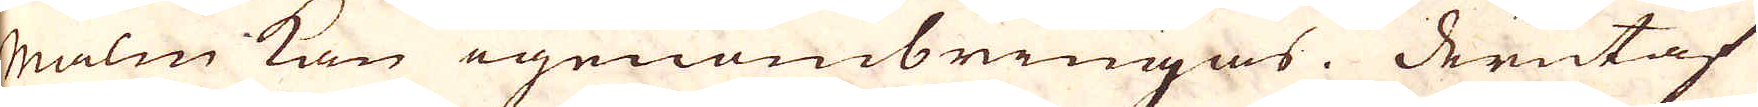malm kan igenombringas. Derutaf
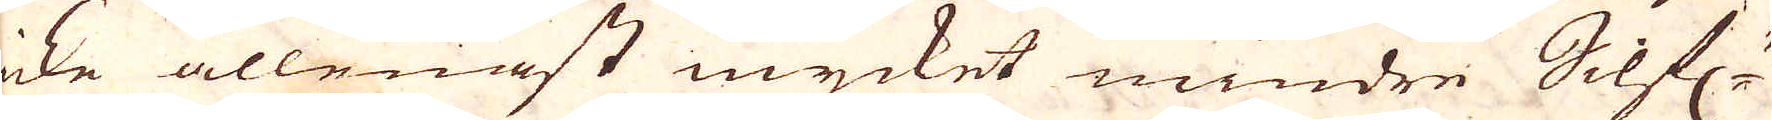icke allenast mycket mindre Silf:r
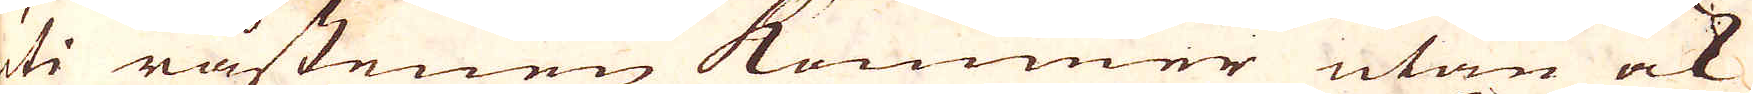uti råstenen kommer utan ock
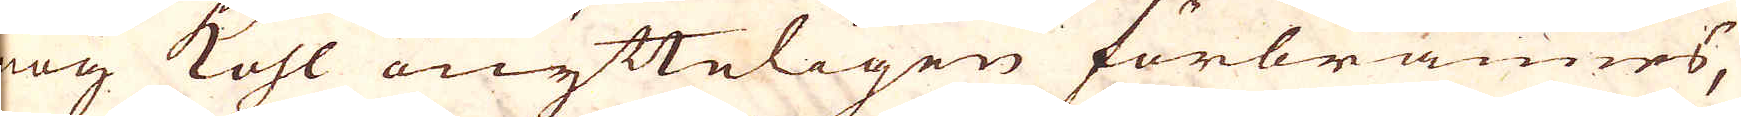nog kohl onytteligen förbrännes,
